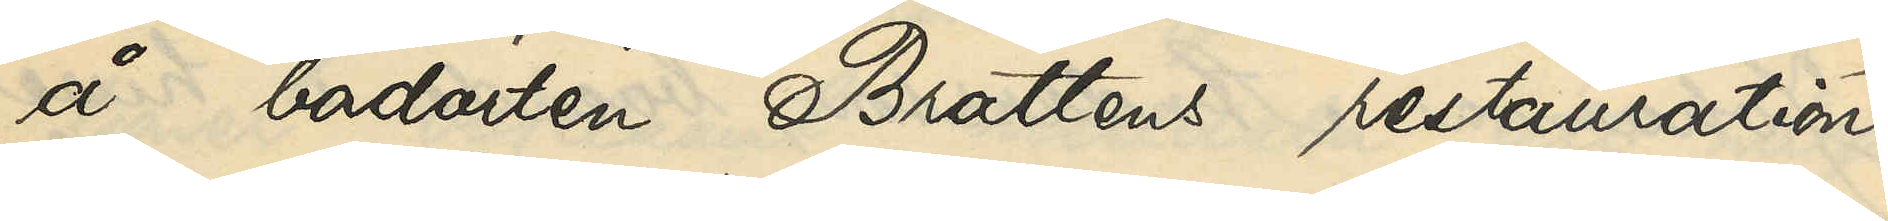å badorten Brattens restauration
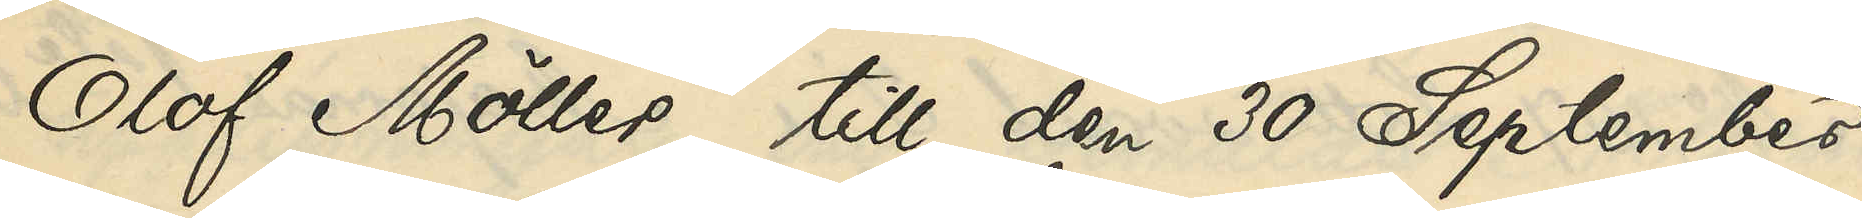Olof Möller till den 30 September
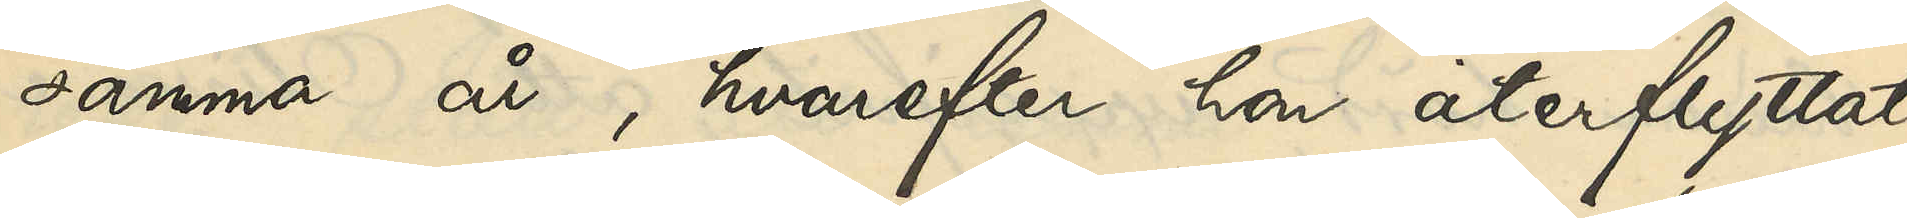samma år, hvarefter hon återflyttat
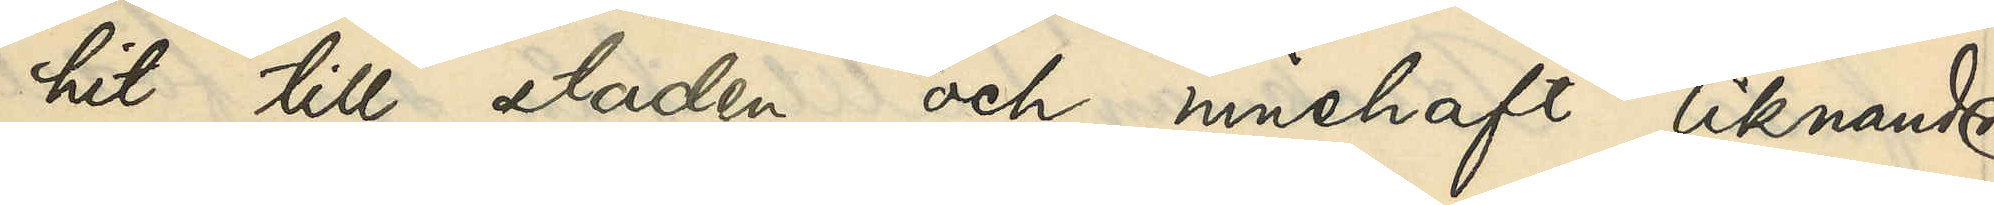hit till staden och innehaft liknande
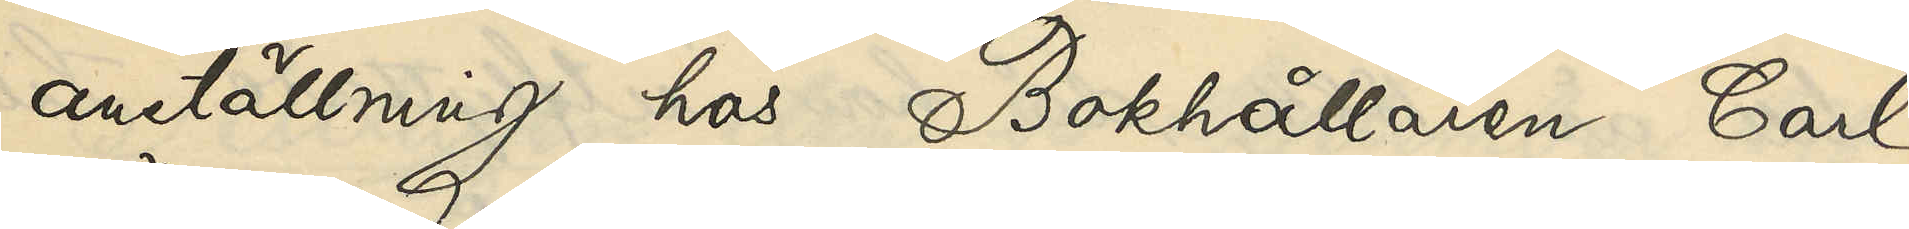anställning hos Bokhållaren Carl
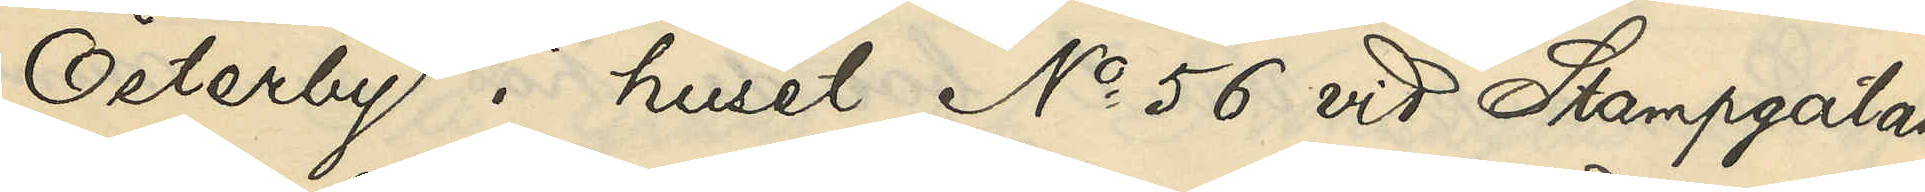Österby i huset No 56 vid Stampgatan
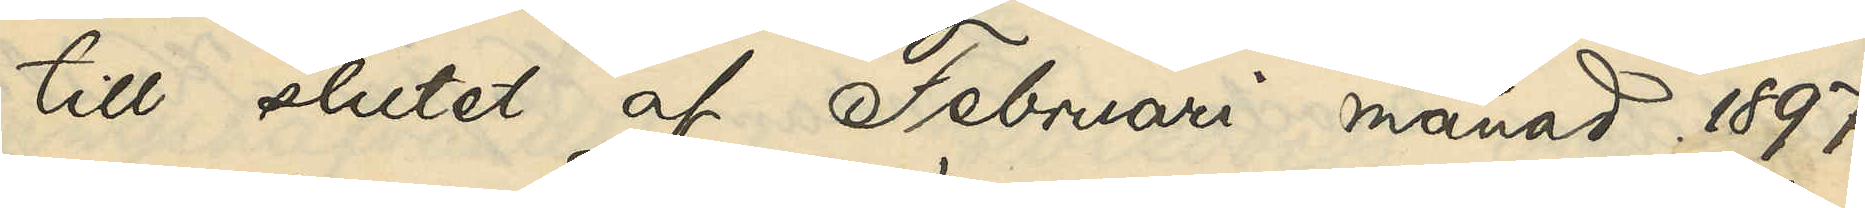till slutet af Februari månad 1897,
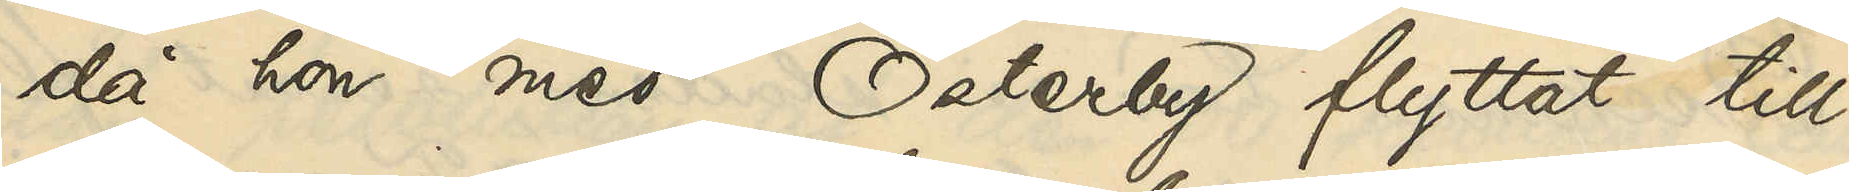då hon med Österby flyttat till
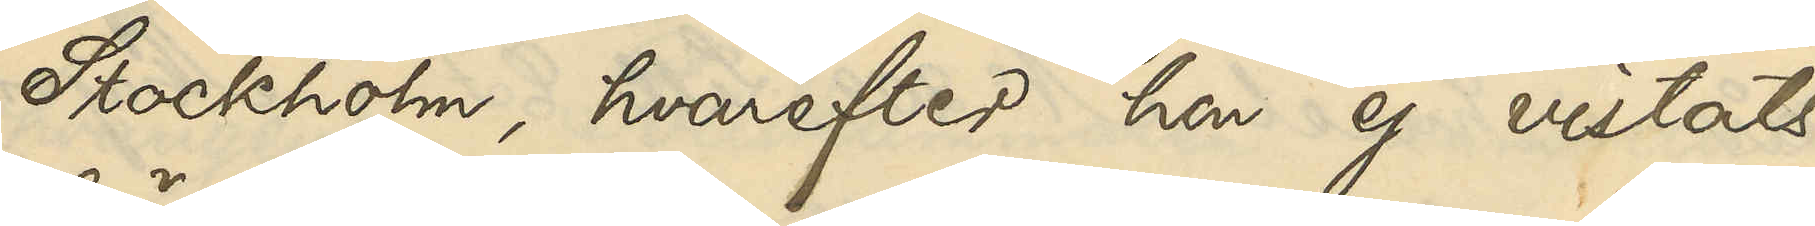Stockholm, hvarest hon ej vistats
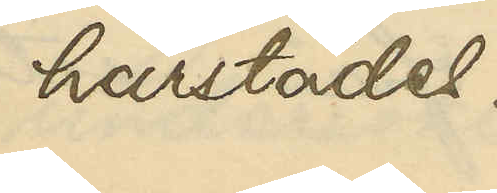härstädes.
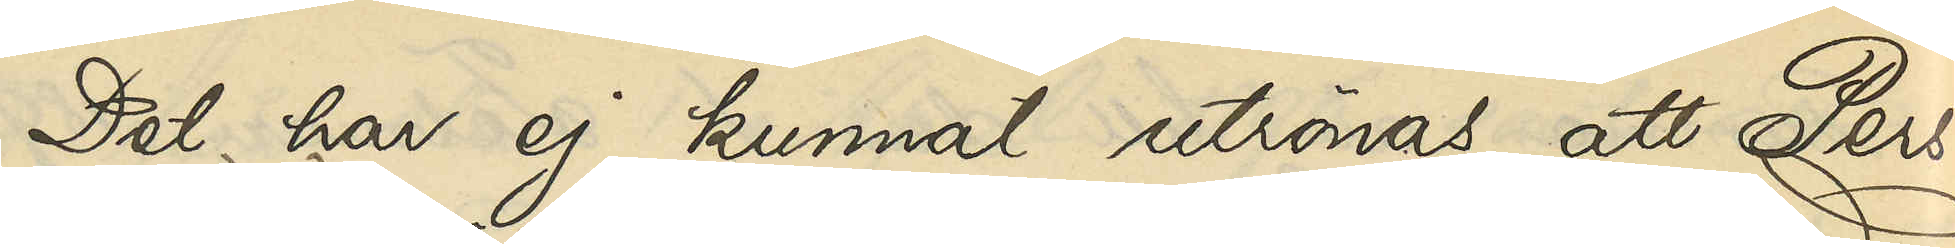Det har ej kunnat utrönas, att Pers¬
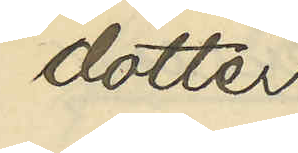dotter
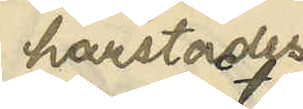härstädes
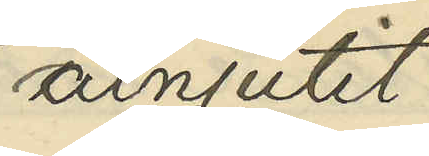åtnjutit
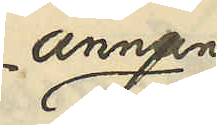annan
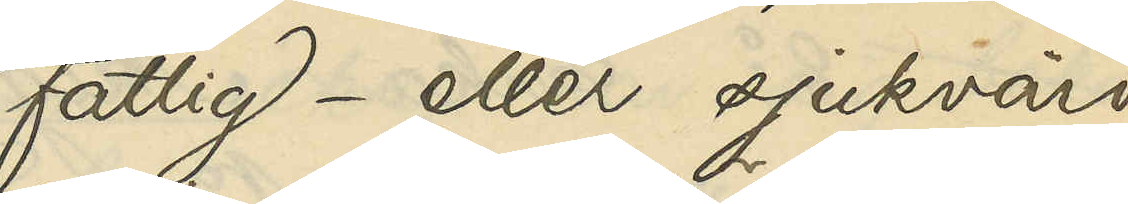fattig- eller sjukvård
